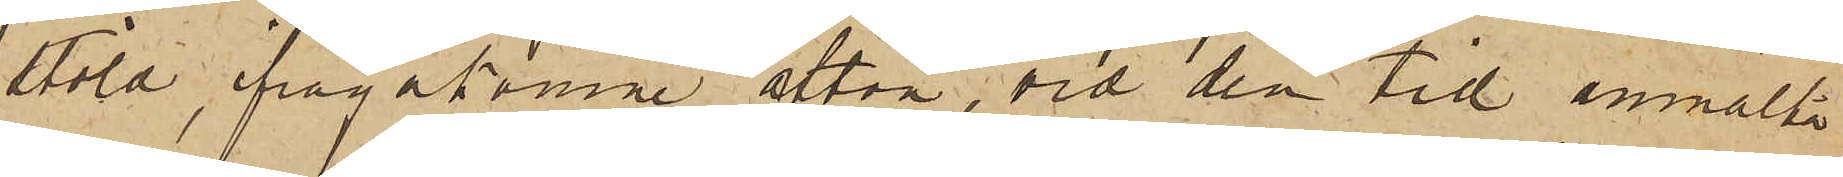stöld, ifrågakomne afton, vid den tid anmälte
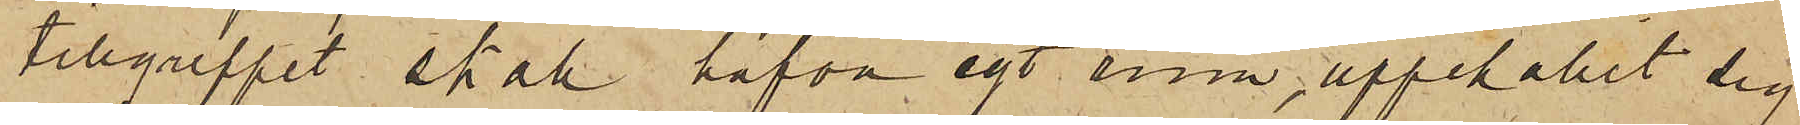tillgreppet skall hafva egt rum, uppehållit sig
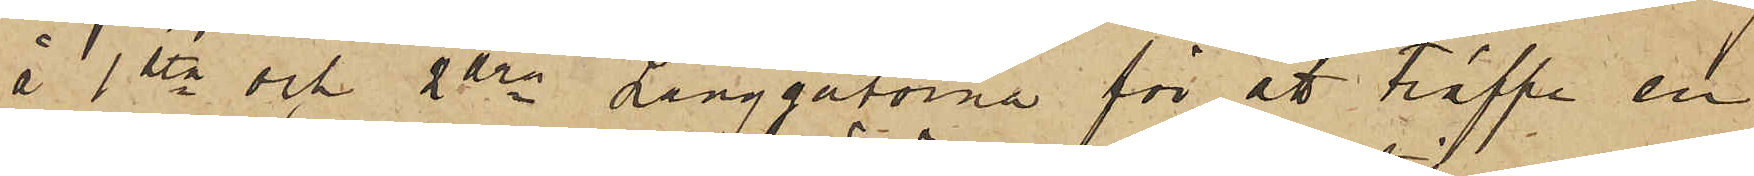å 1sta och 2dra Långgatorna för att träffa en
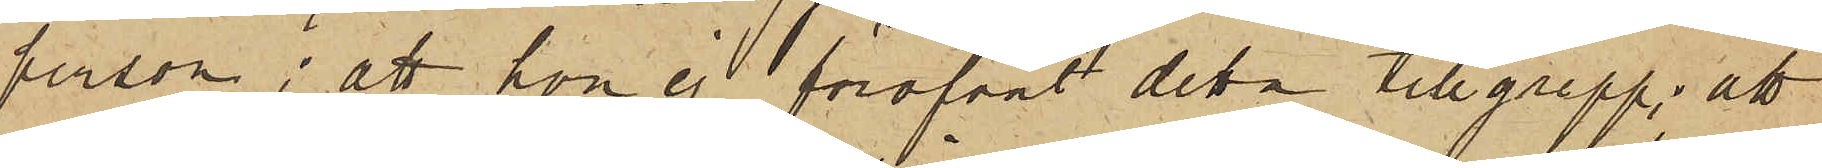person; att hon ej föröfvat detta tillgrepp; att
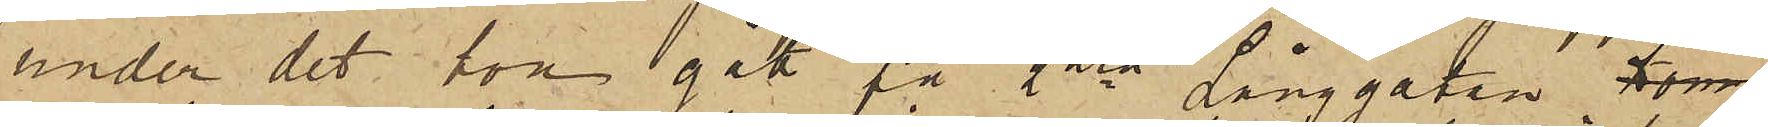under det hon gått på 2dra Långgatan kom
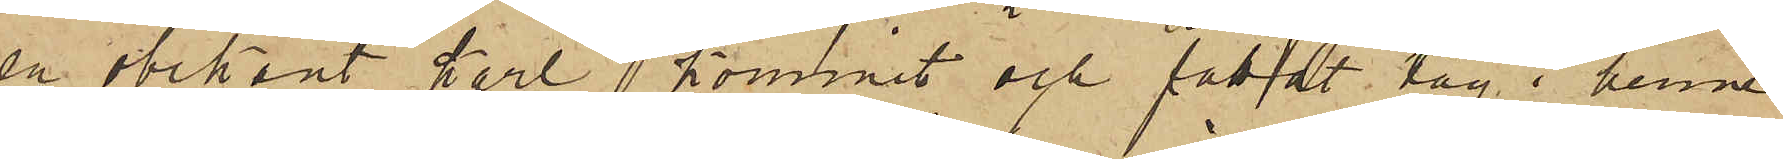en obekant karl kommit och fattat tag i henne
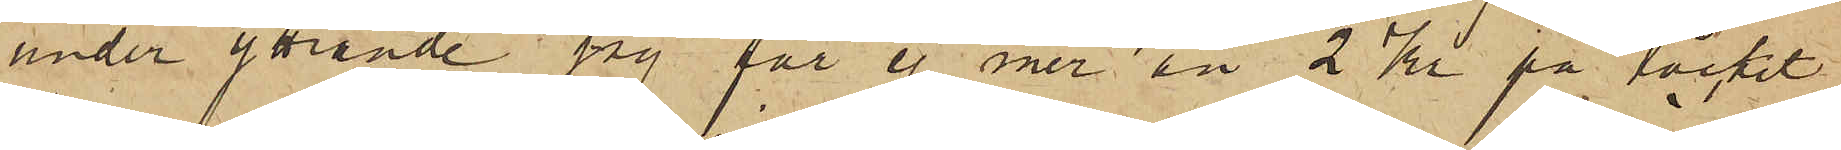under yttrande "jag får ej mer än 2 Kr på täcket,
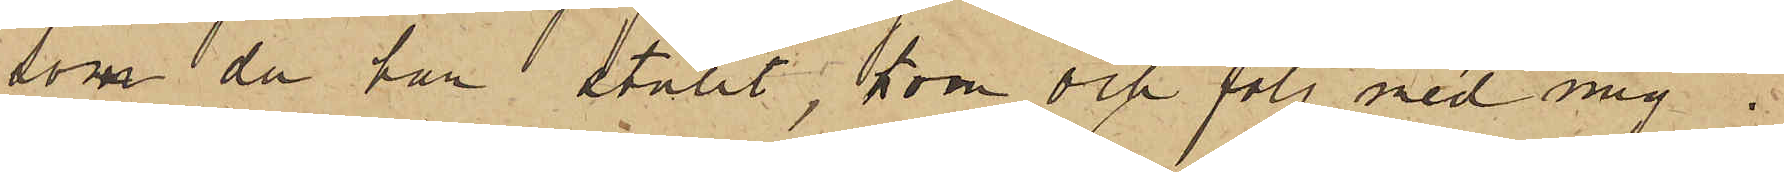som du har stulit, kom och följ med mig";
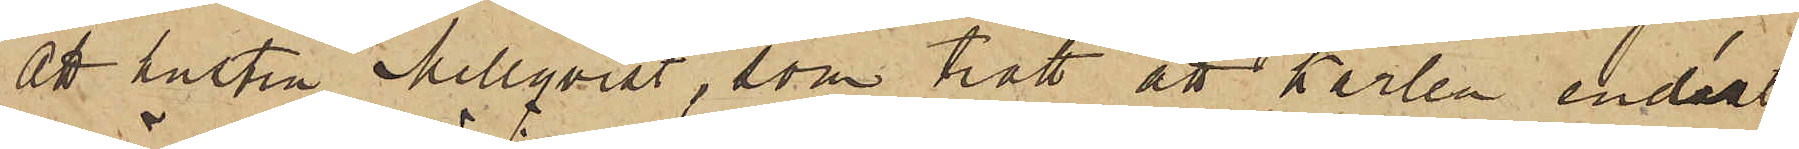att hustru Mellqvist, som trott att Karlen endast
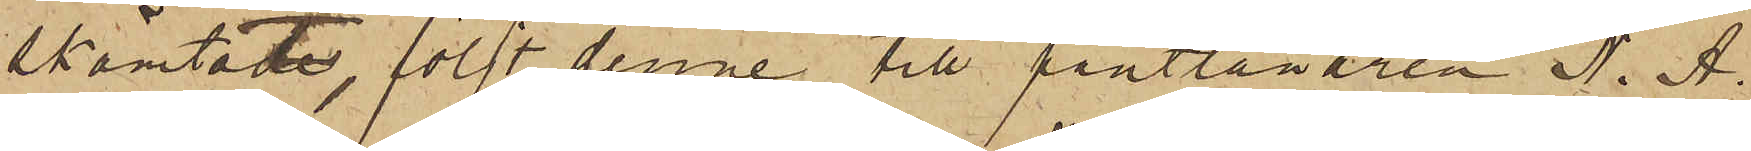skämtade, följt denne till pantlånaren N. A.
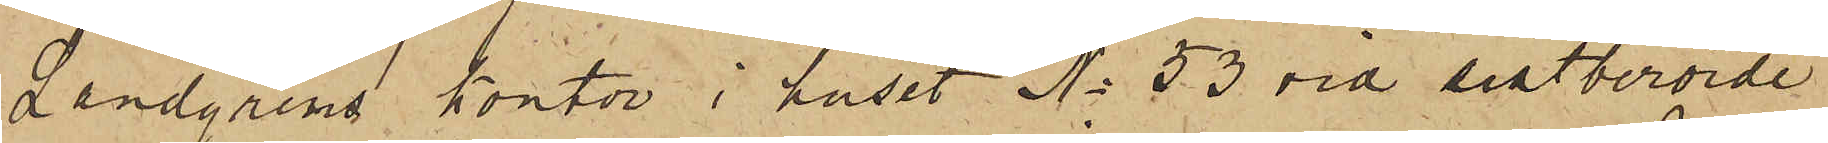Landgrens kontor i huset No 53 vid sistberörde
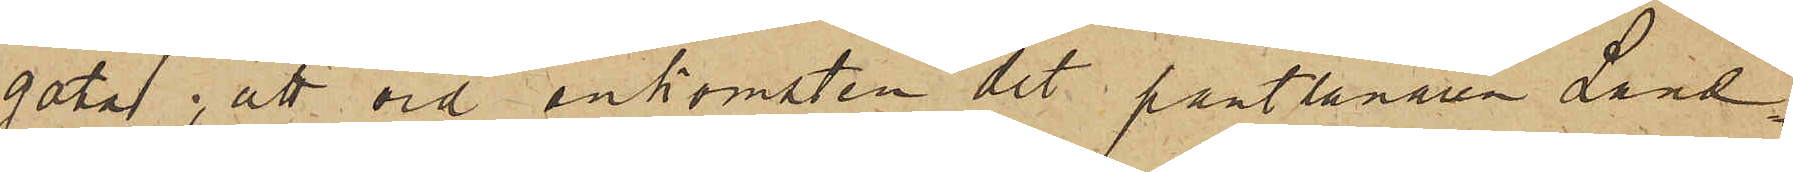gata; att vid ankomsten dit pantlånaren Land¬
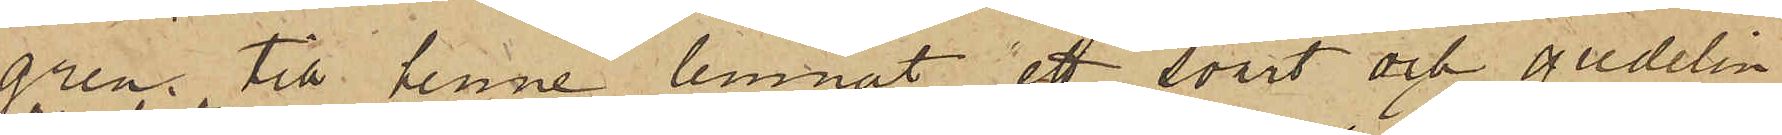gren till henne lemnat ett svart och gredelin¬
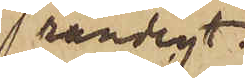randigt
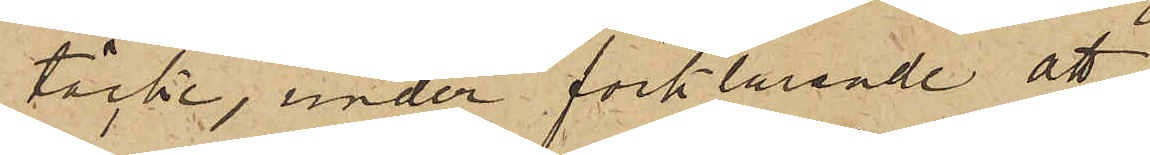täcke, under förklarande att
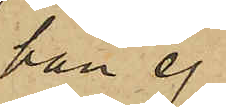han ej
